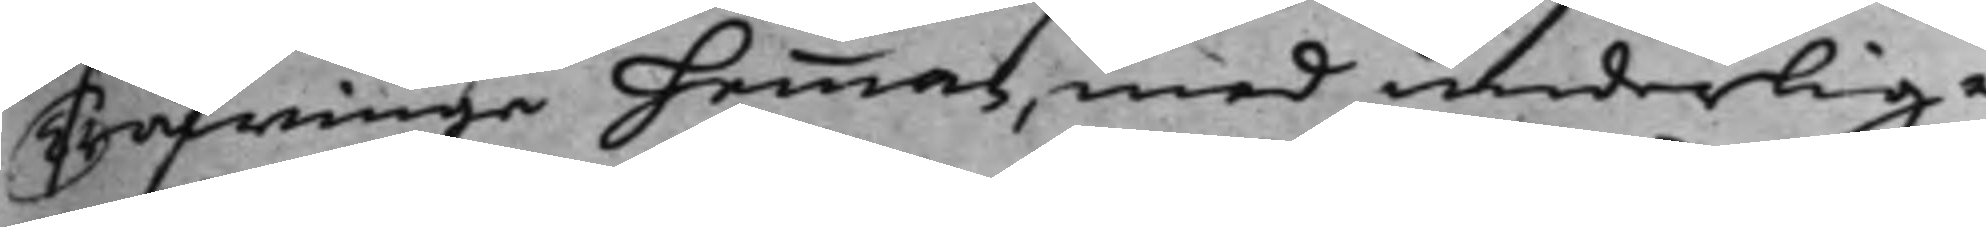Träfwinge hemman, med underlig¬
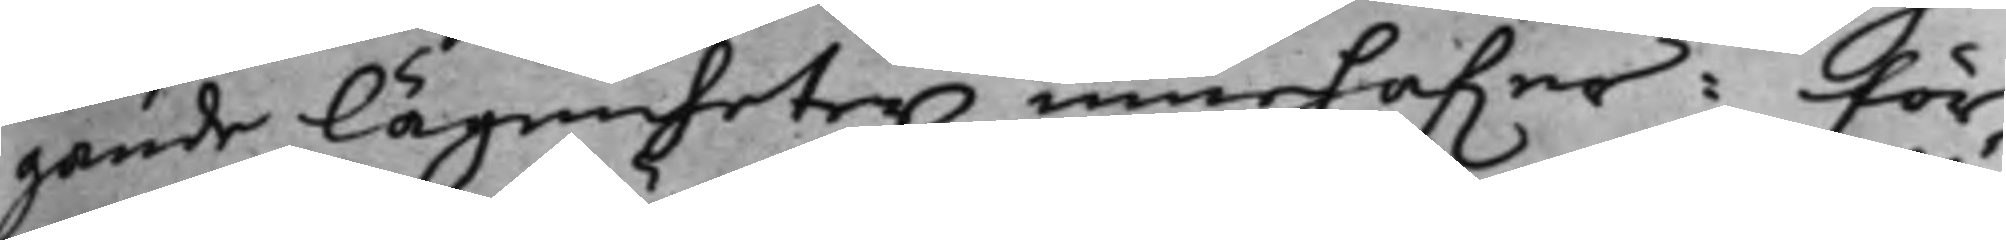gande lägenheter innehafwer: För¬
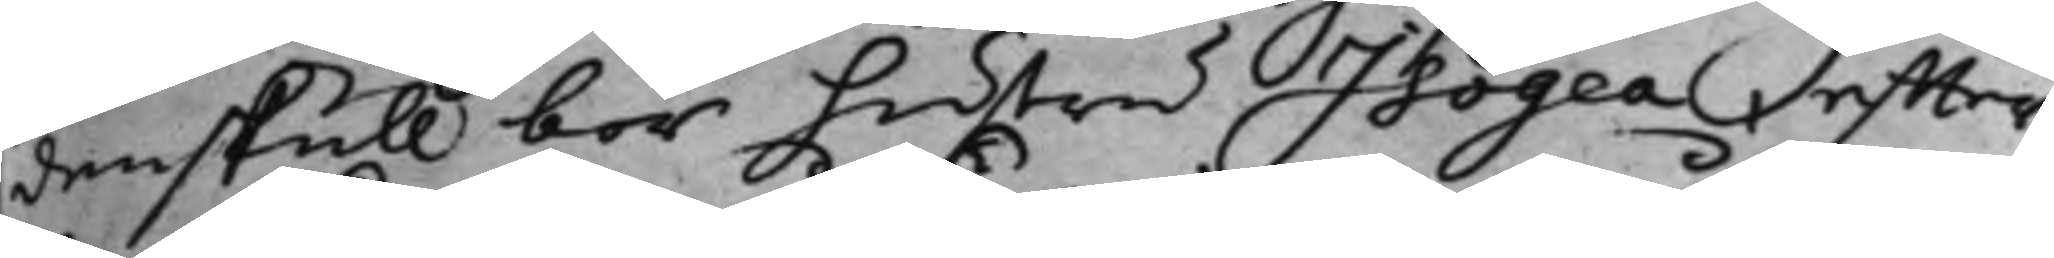denskull bör hustru Isogea, effter
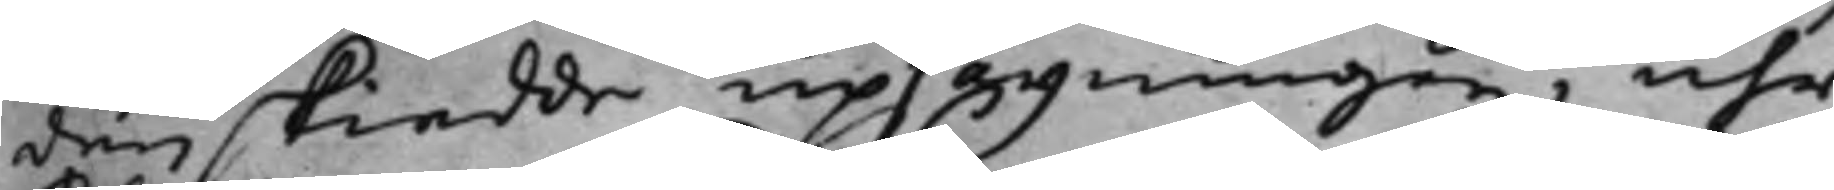den skiedde upsägningen, uhr
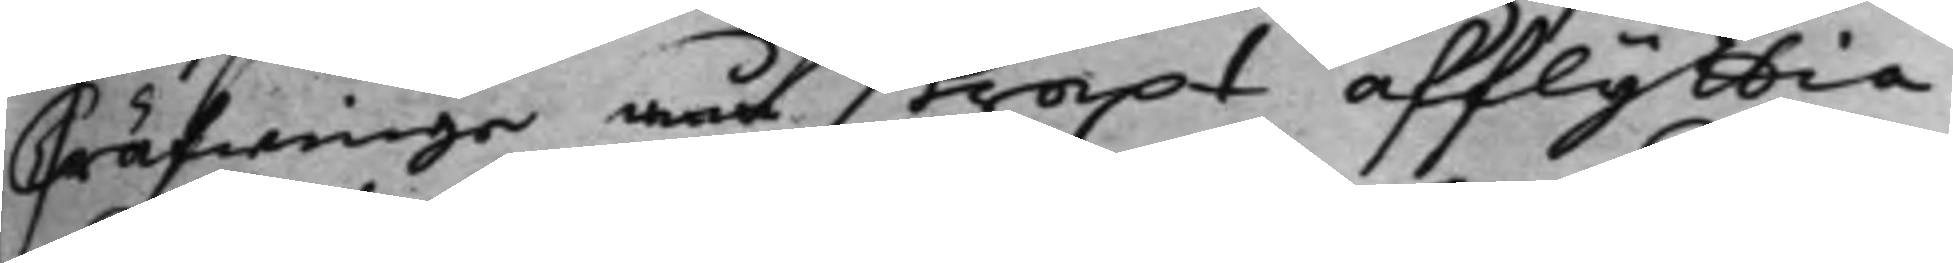Ttäfwinge wäl straxt afflytta,
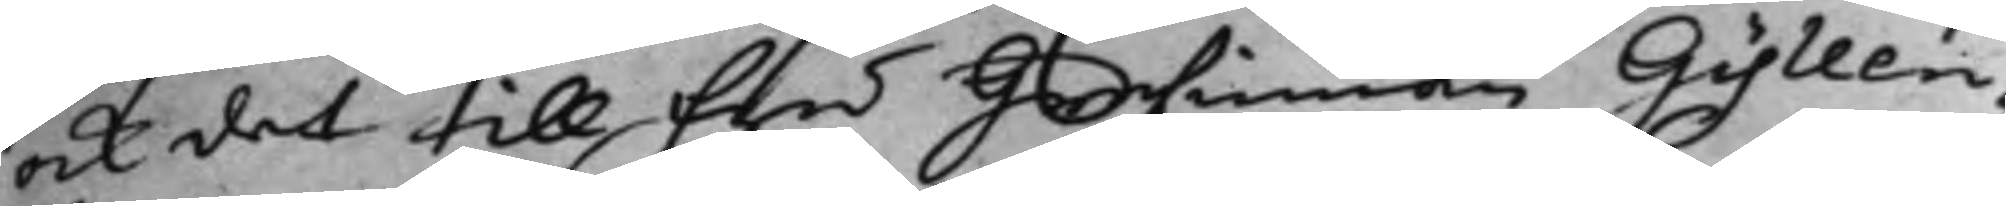ock det till fru Grefinnan Gyllen¬
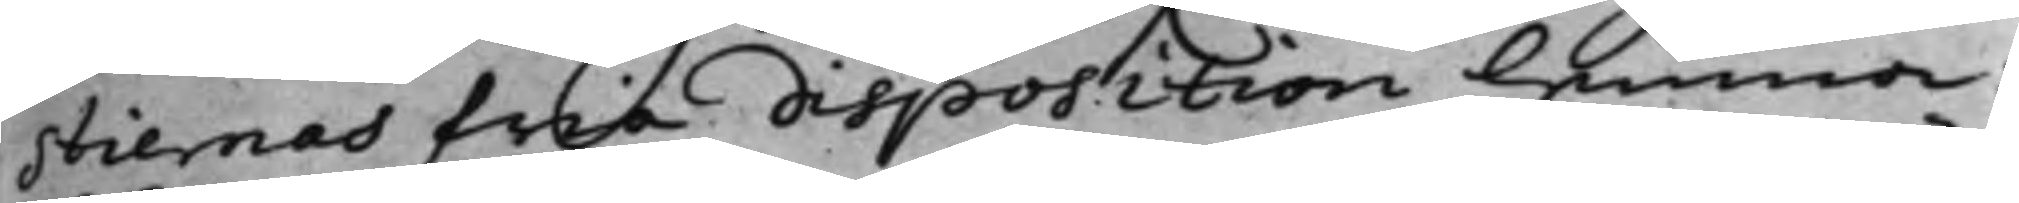stiernas fria disposition lemna:
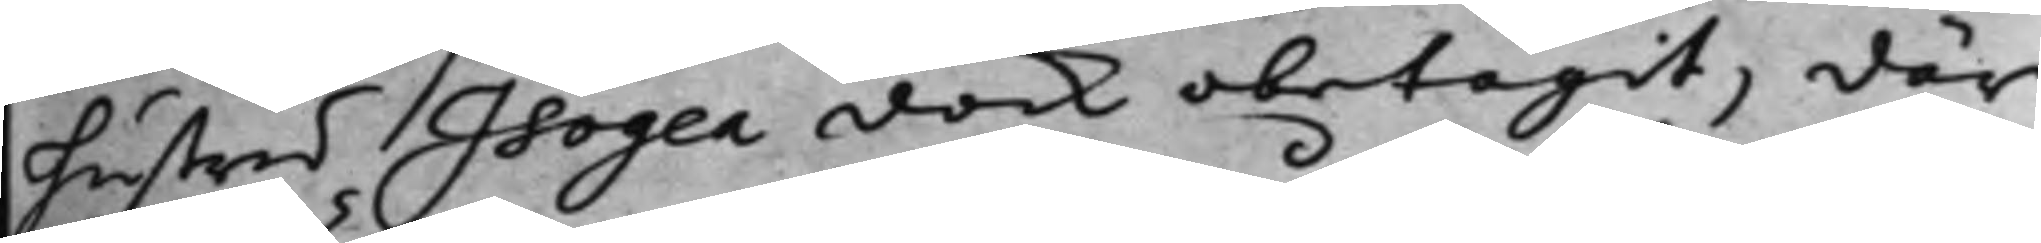hustru Isogea dock obetagit. där
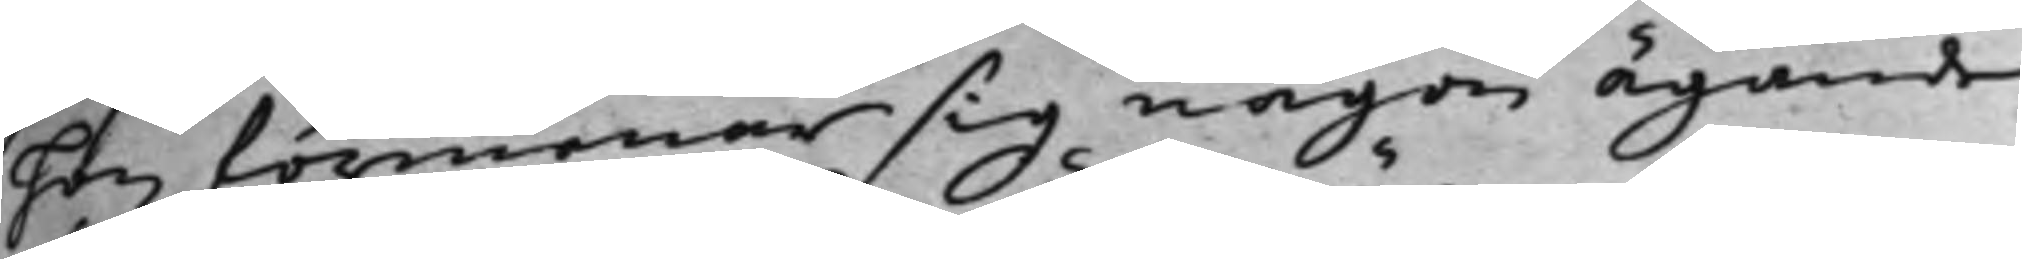hon förmenar sig någon ägande
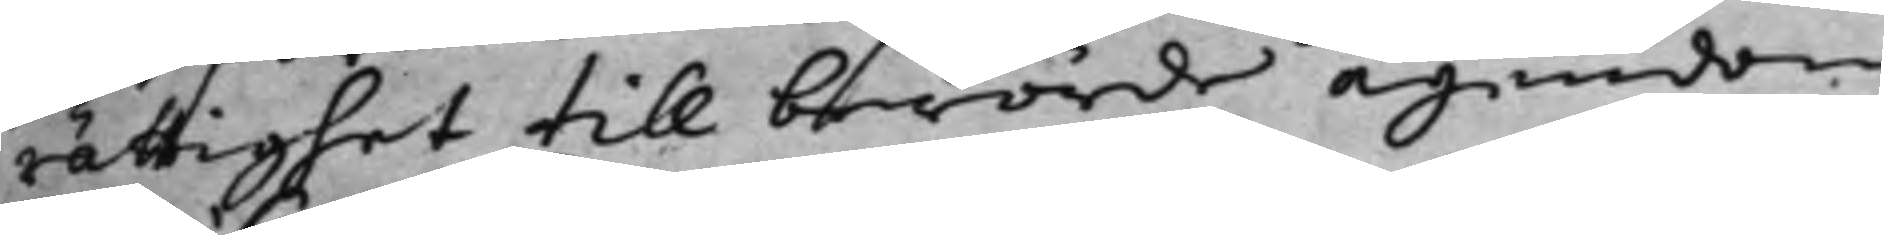rättighet till berörde ägendom
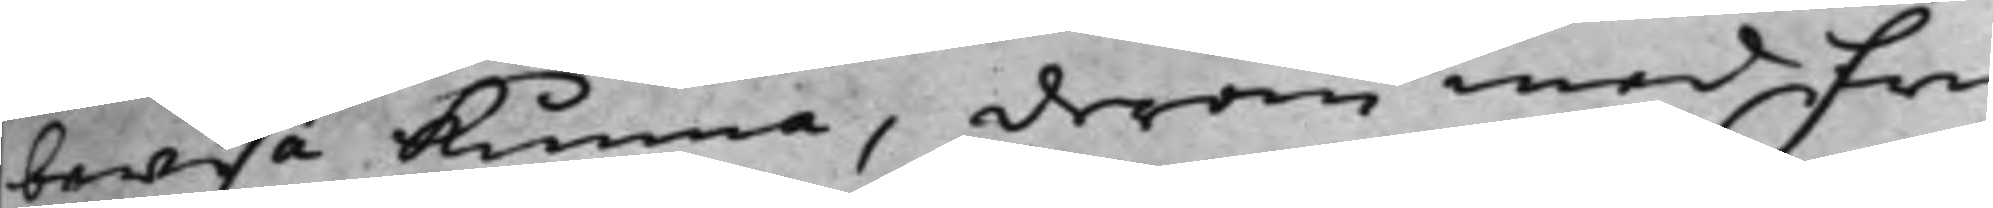bewisa kunna, derom med fru
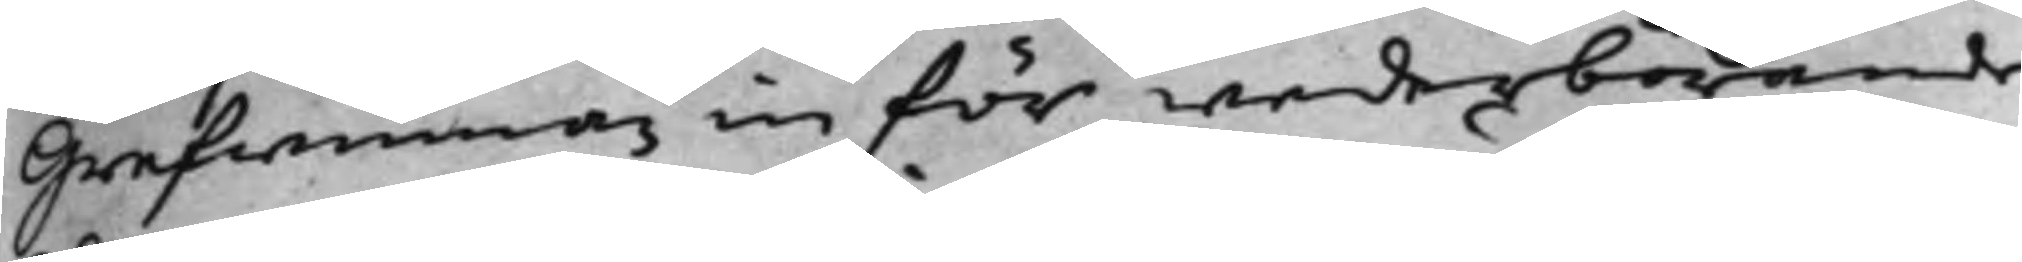Grefinnan inför wederbörande
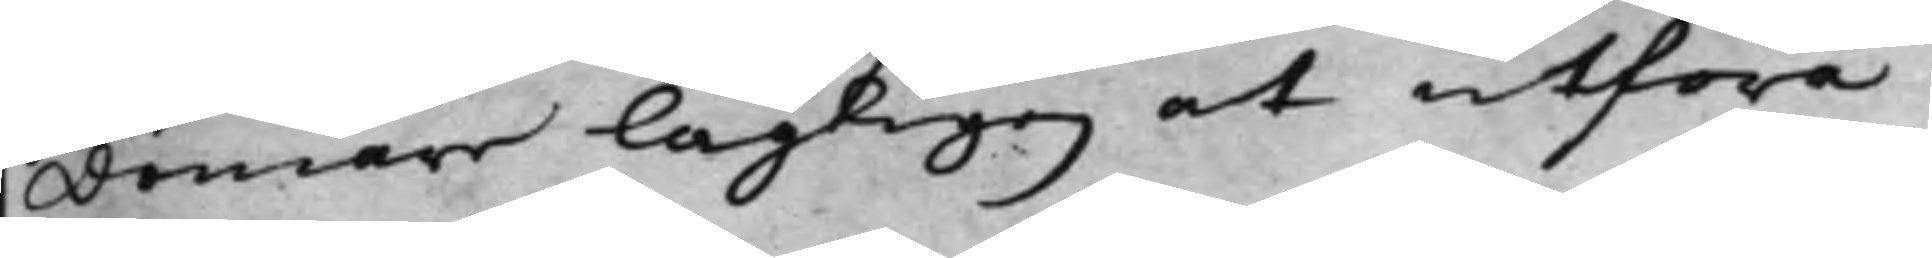Domare lagligen at utföra.
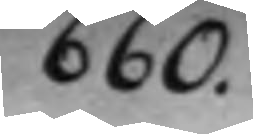660.
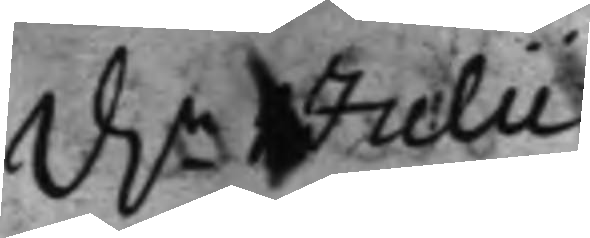d. 1 Julii
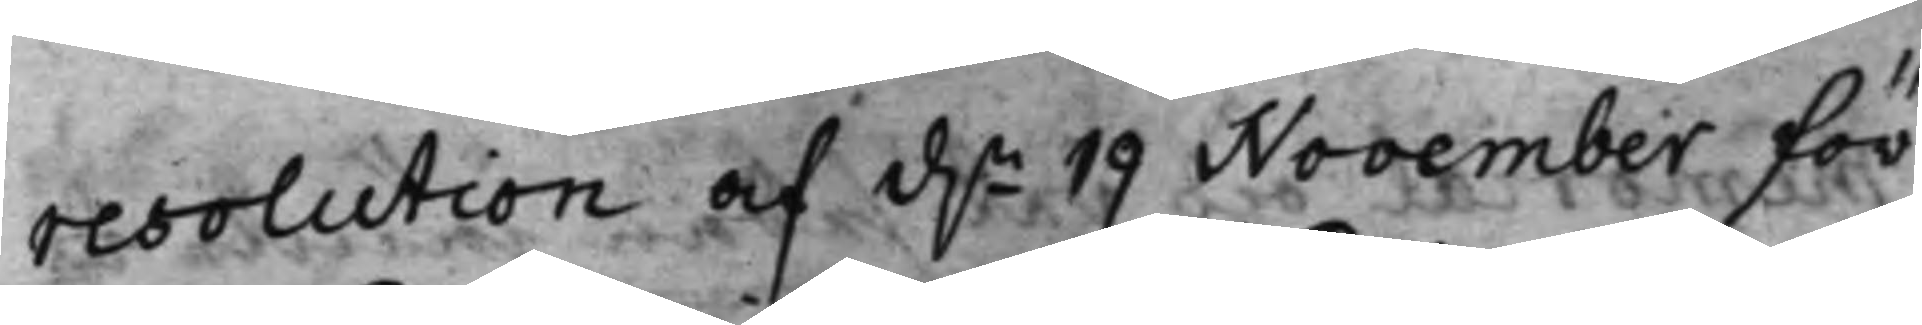resolution af d.n 19 November för
